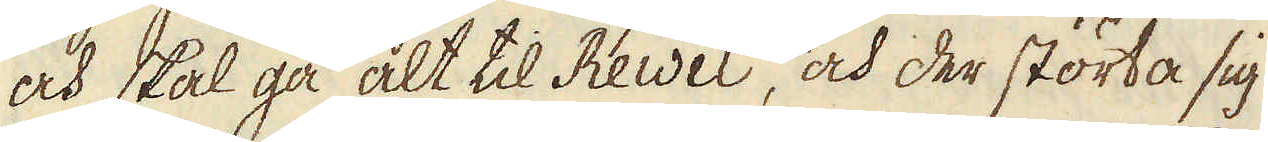och skal gå alt til Rewel, och der störta sig
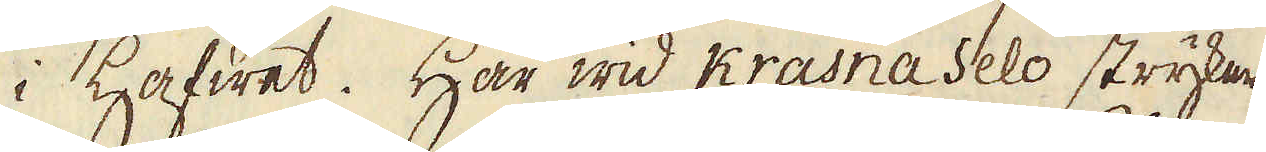i hafwet. Här wid Krasna Selo stryker
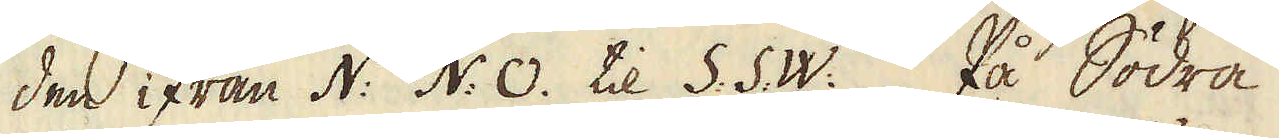den ifrån N: N: O. til S: S: W: På Södra
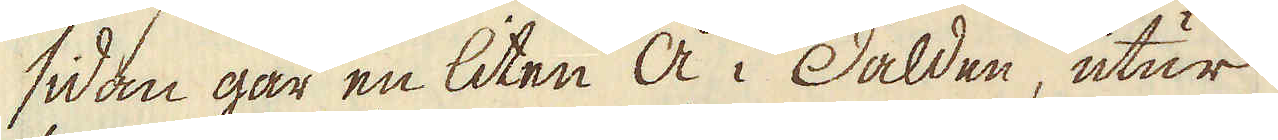sidan går en liten å i dälden, utur
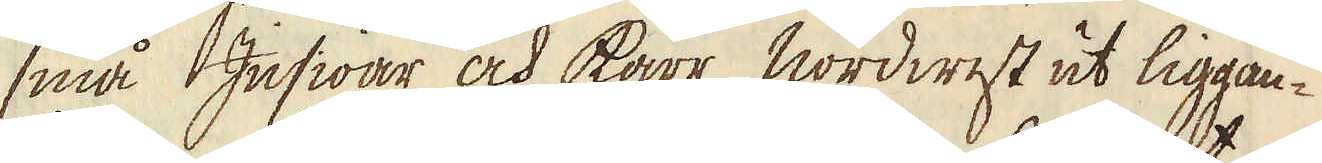små Insiöar och Kärr Nordwest ut liggan-
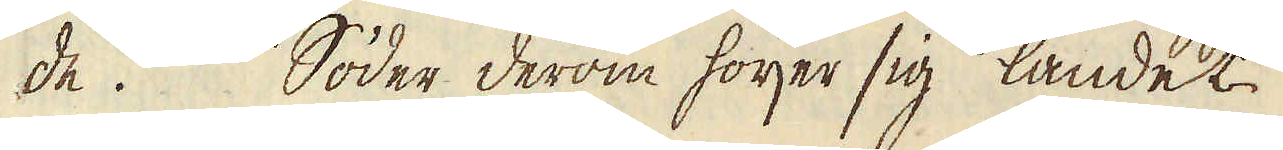de. Söder derom höijer sig landet
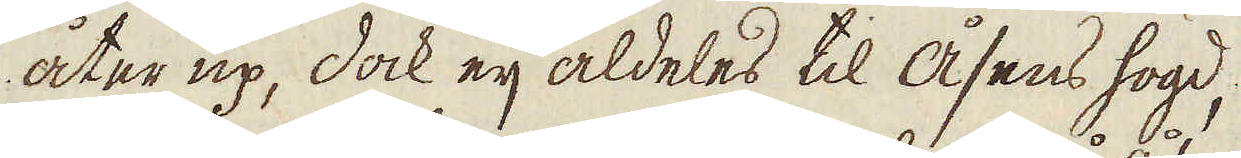åter up, dock eij aldeles til åsens högd,
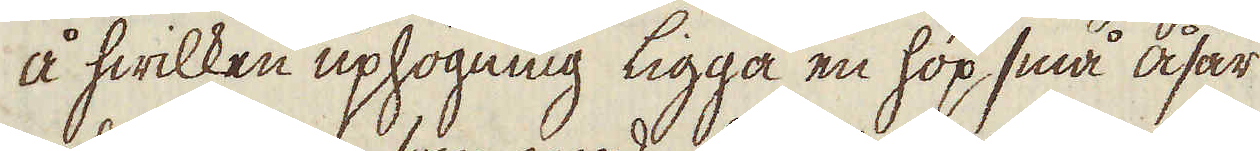å hwilken uphögning ligga en hop små åsar
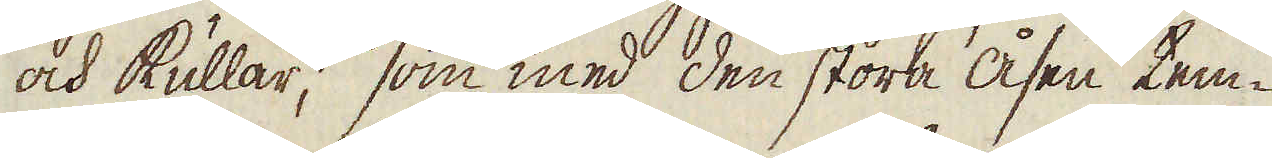och kullar, som med den stora åsen tem-
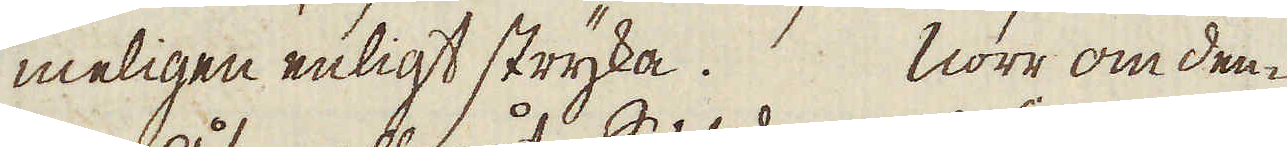meligen enligt stryka. Norr om den-
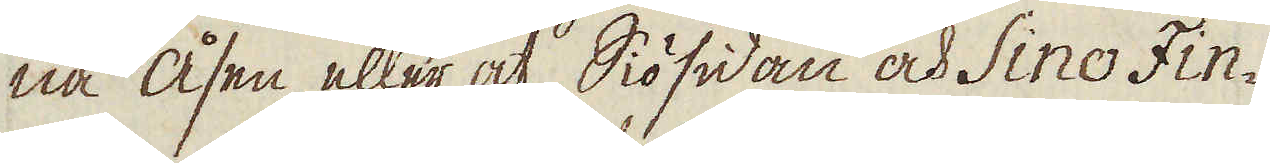na åsen, eller åt Siösidan och Sino Fin-
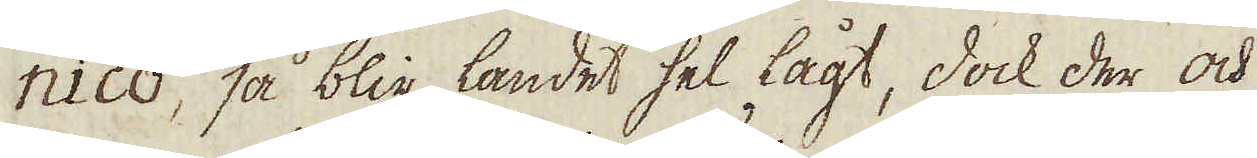nico, så blir landet hel lågt, dock der och
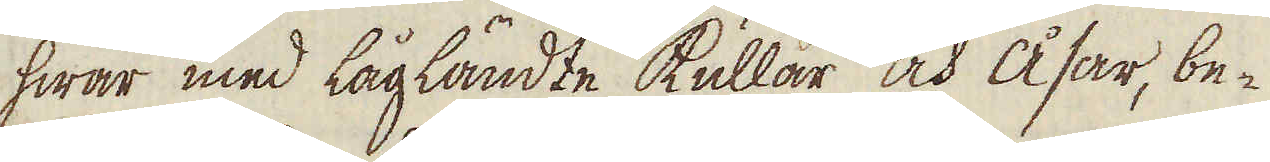hwar med lågländte kullar och åsar, be-
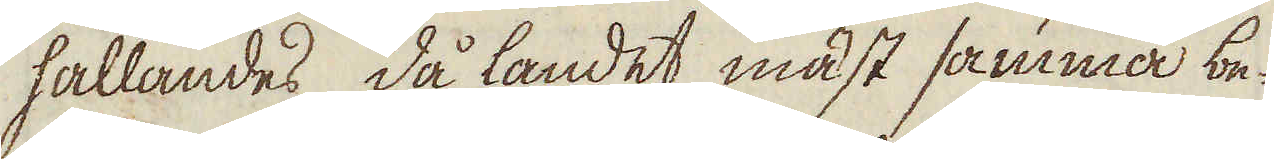hållandes då landet mäst samma be-
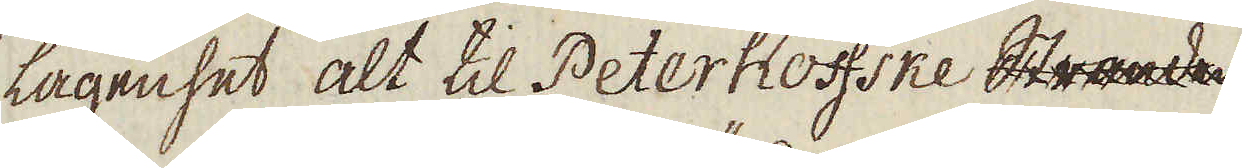lägenhet alt til Peterhoffske Stranden
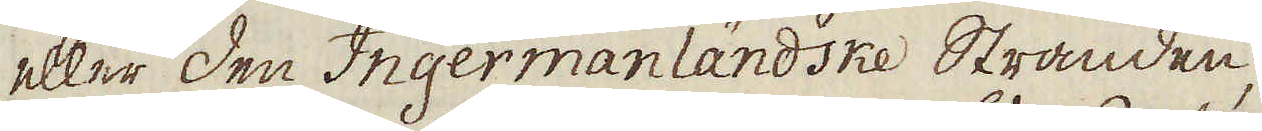eller den Ingermanländske Stranden,
